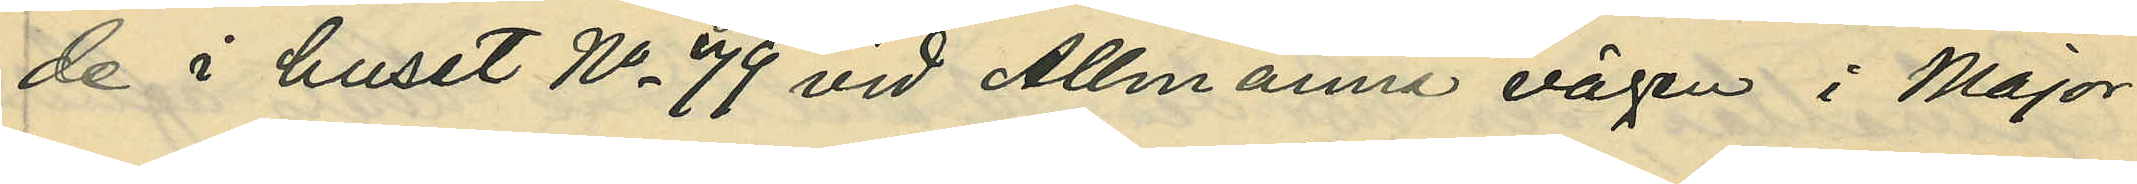de i huset No 79 vid Allmänna vägen i Major¬
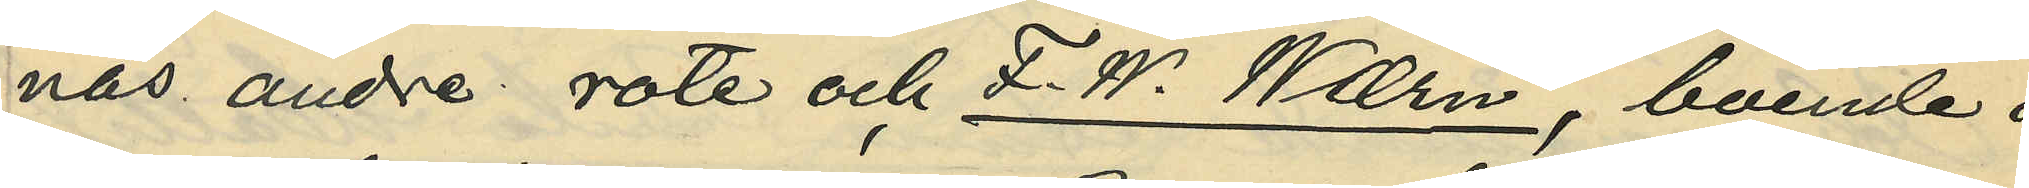nas andra rote och F.W. Wærn, boende i
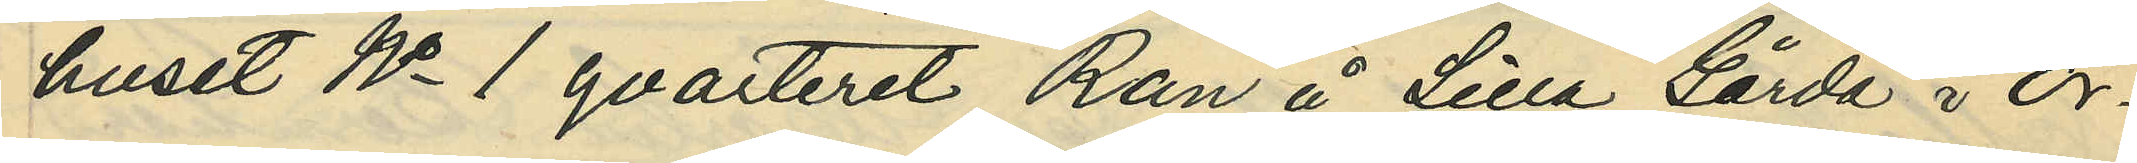huset No 1 qvarteret Ran å Lilla Gårda i Ör¬
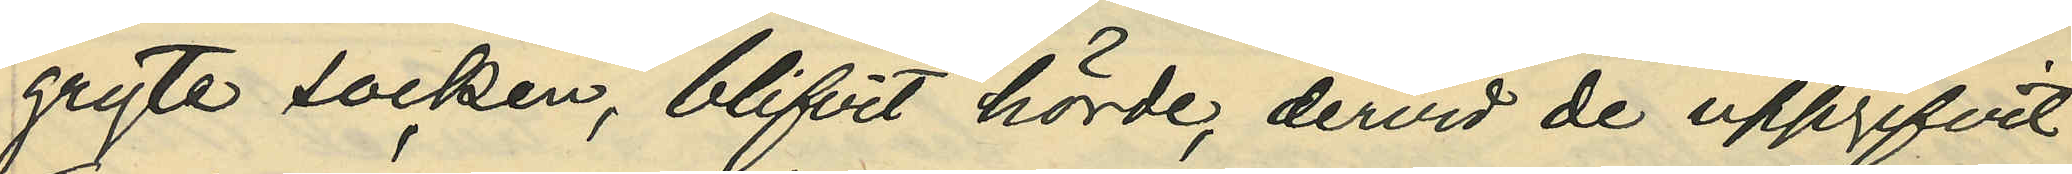gryte socken, blifvit hörde, dervid de uppgifvit:
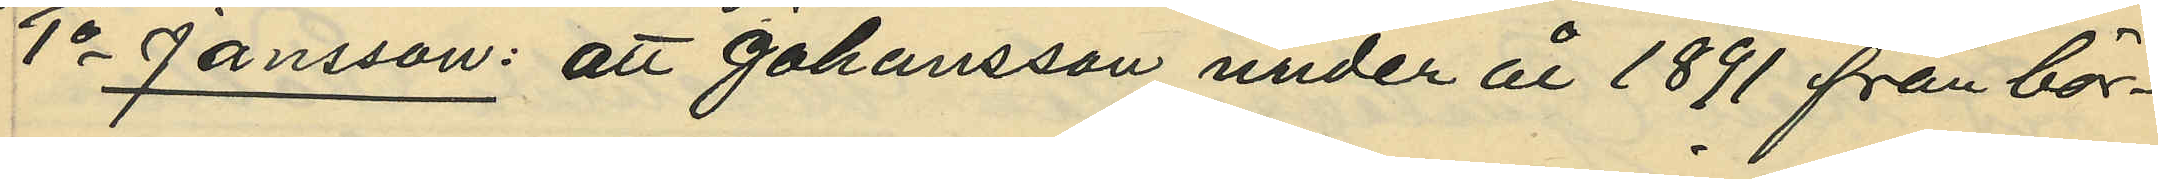1o Jansson: att Johansson under år 1891 från bör¬
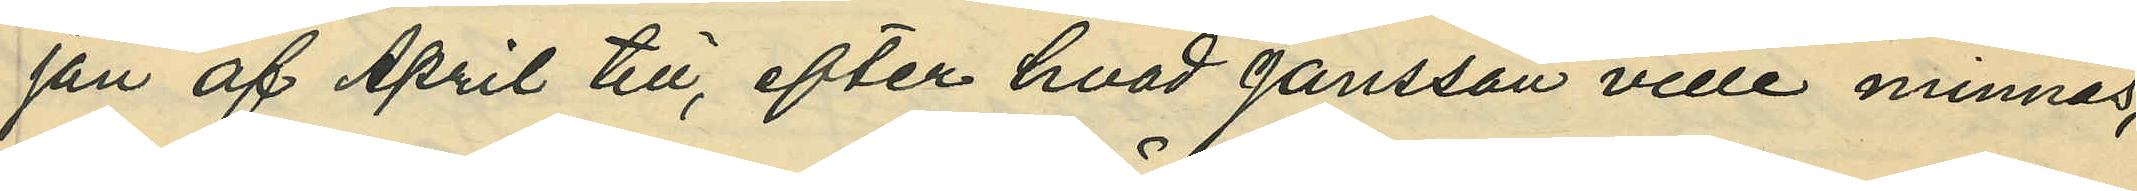jan af April till, efter hvad Jansson ville minnas,
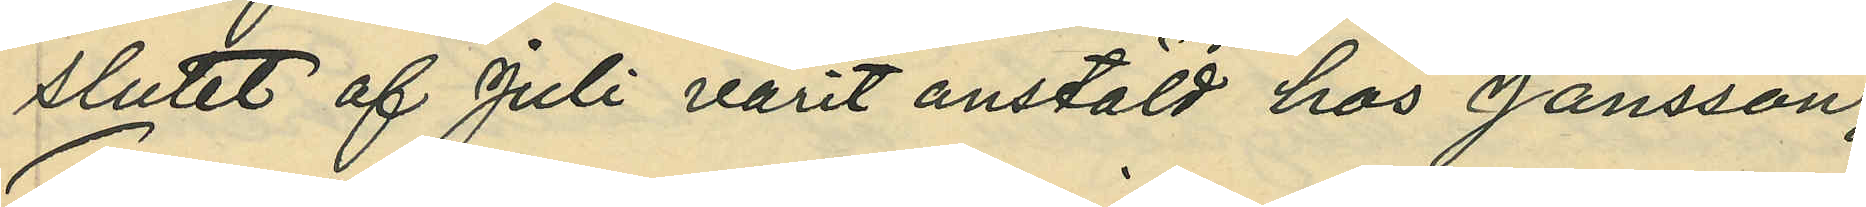slutet af Juli varit anstäld hos Jansson;
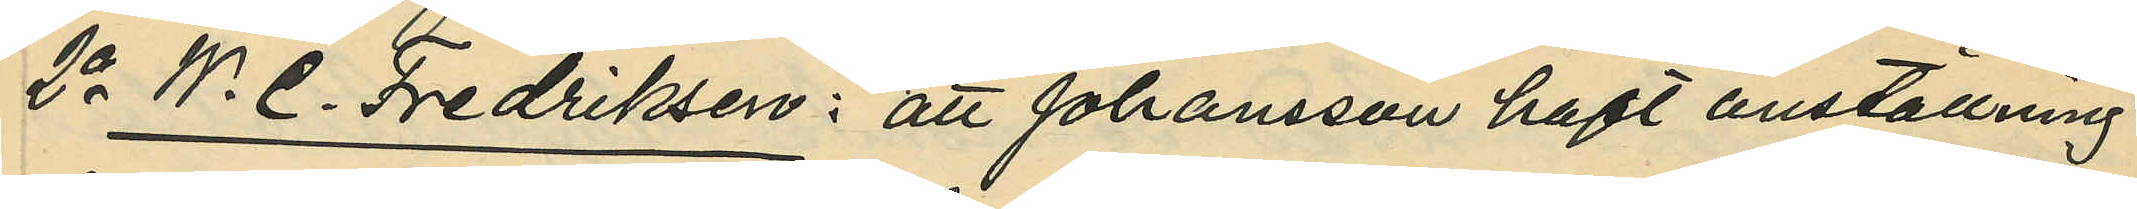2o W. C. Fredriksen: att Johansson haft anställning
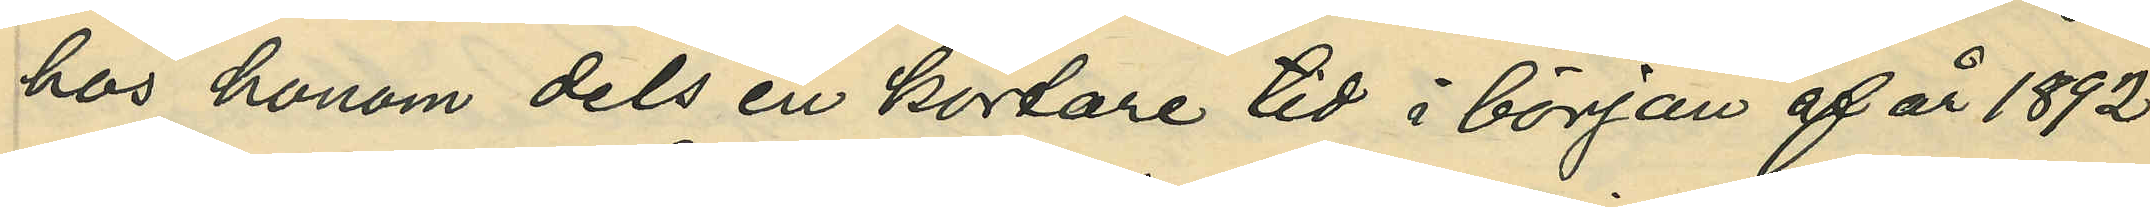hos honom dels en kortare tid i början af år 1892
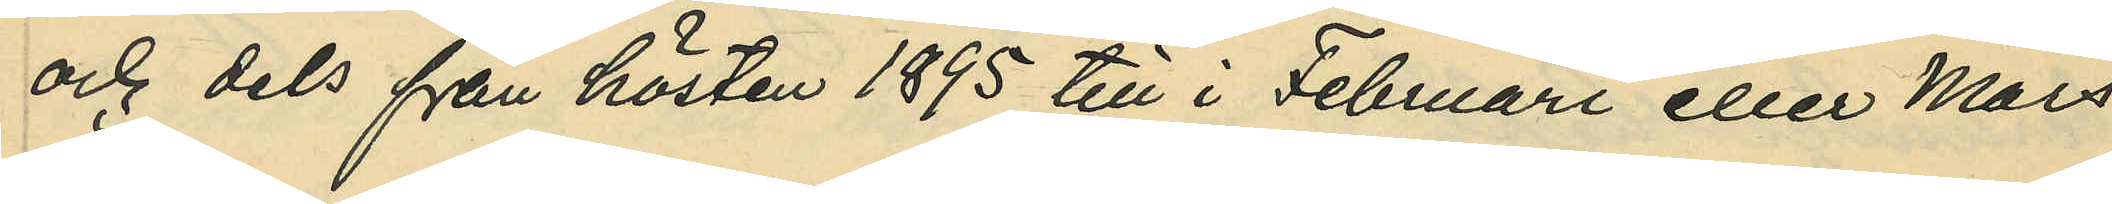och dels från hösten 1895 till i Februari eller Mars
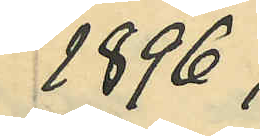1896;
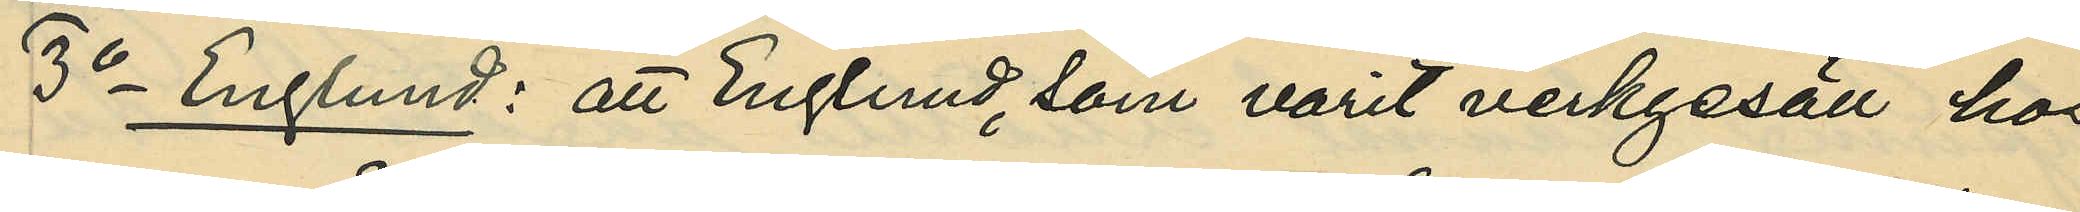3o Englund: att Englund, som varit verkgesäll hos
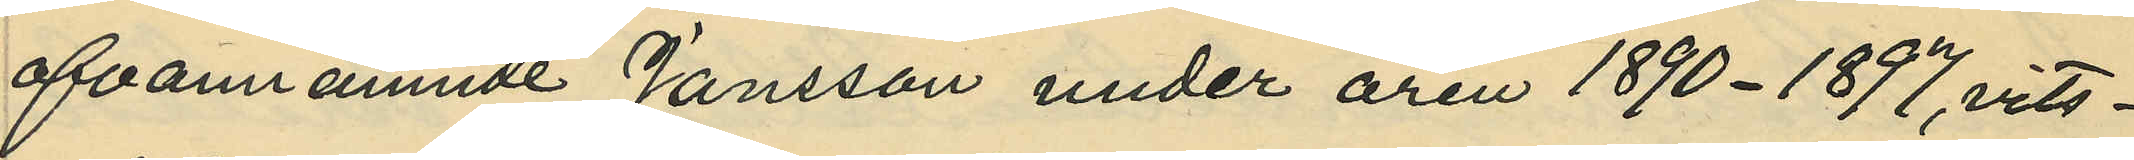ofvannämnde Jansson under åren 1890-1897, vits¬
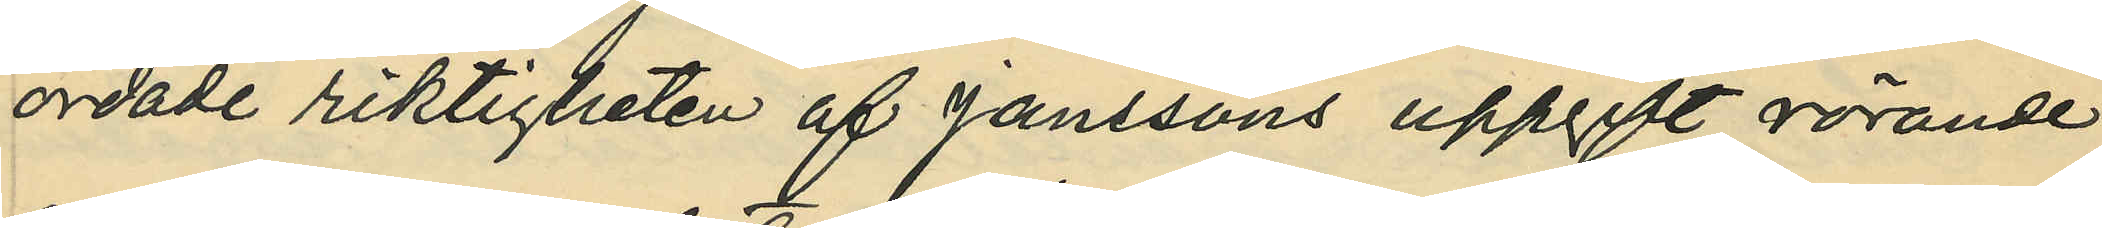ordade riktigheten af Janssons uppgift rörande
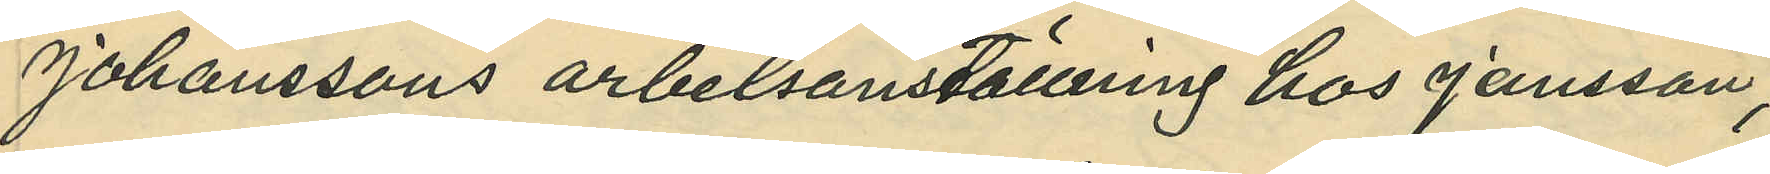Johanssons arbetsanställning hos Jansson;
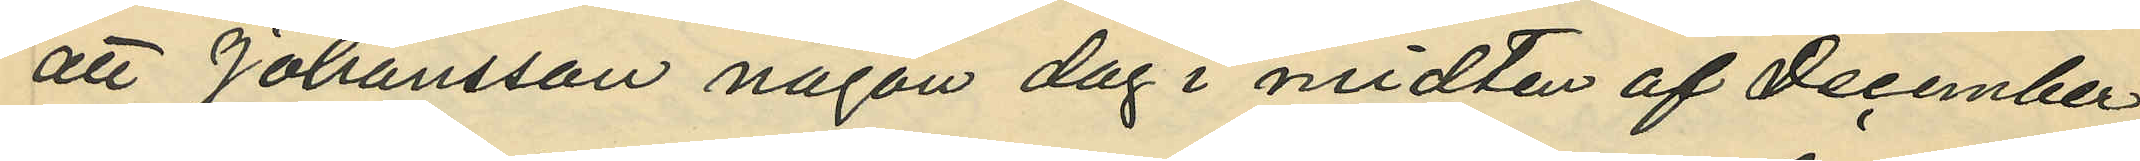att Johansson någon dag i midten af December
